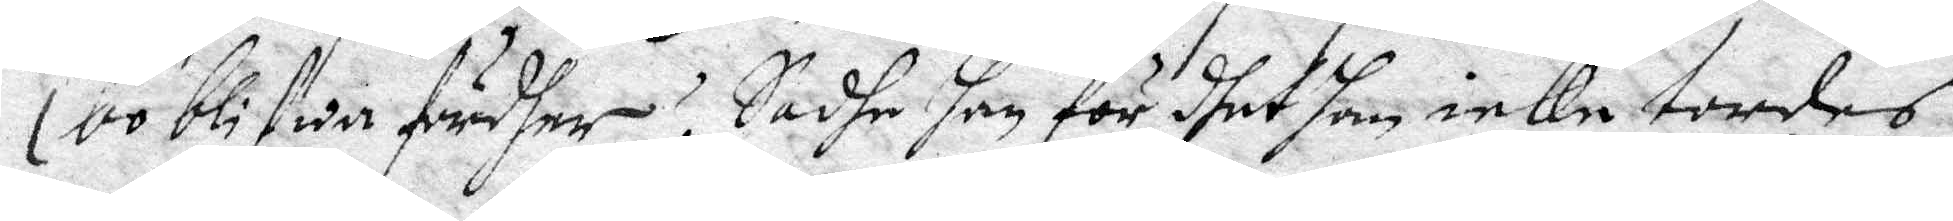bo blifwa fördher? Sadhe han för dhet han icke tordes
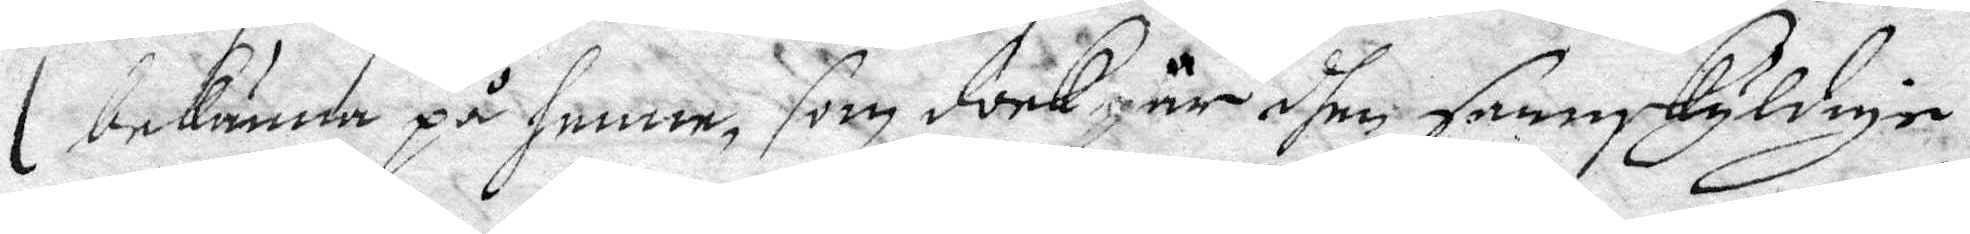bekänna på henne, som dock är dhen sannskyldige.
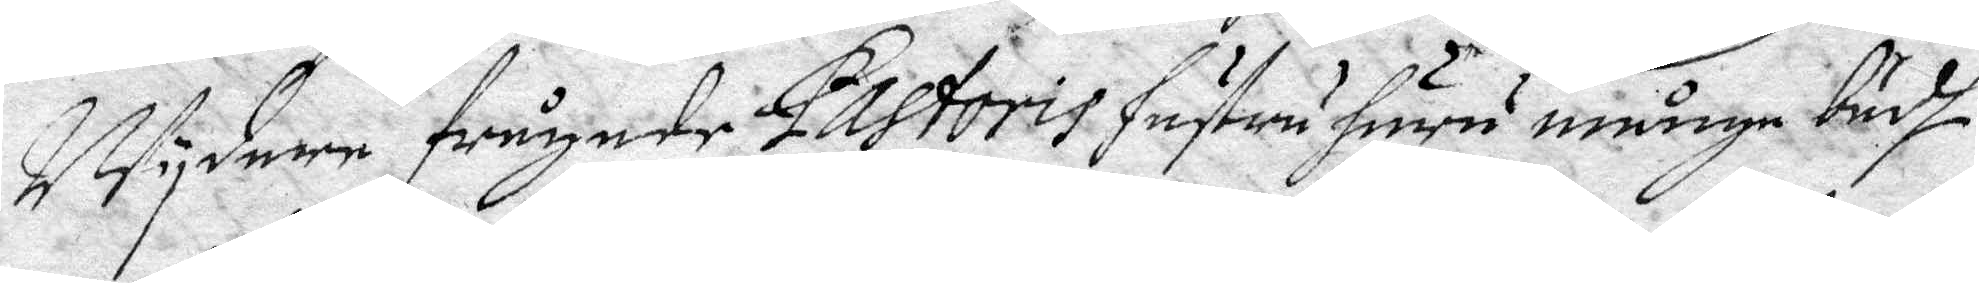Wydare frågade Pastoris hustru huru mådiga budh
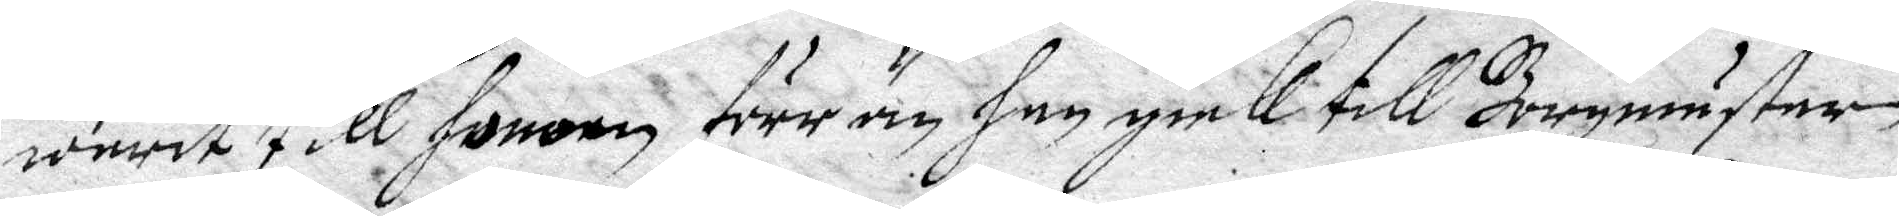warit till honom förr än han gick till Borgmäster
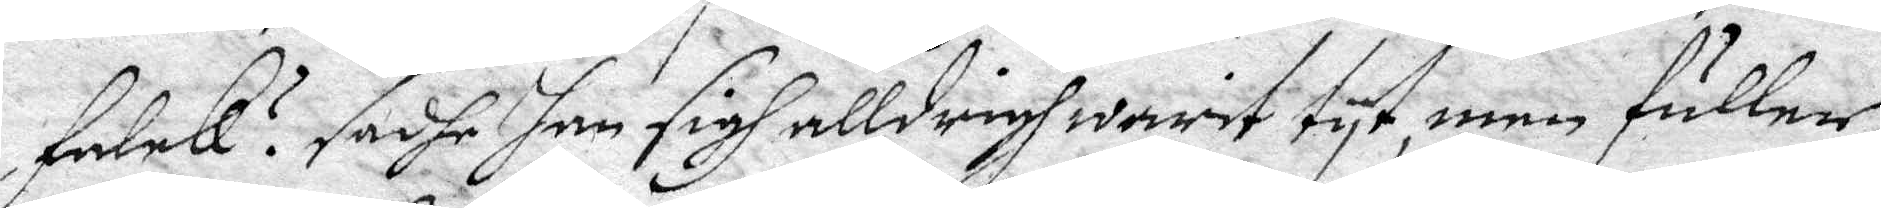Falck? sadhe han sigh alldrigh warit tyt men fuller
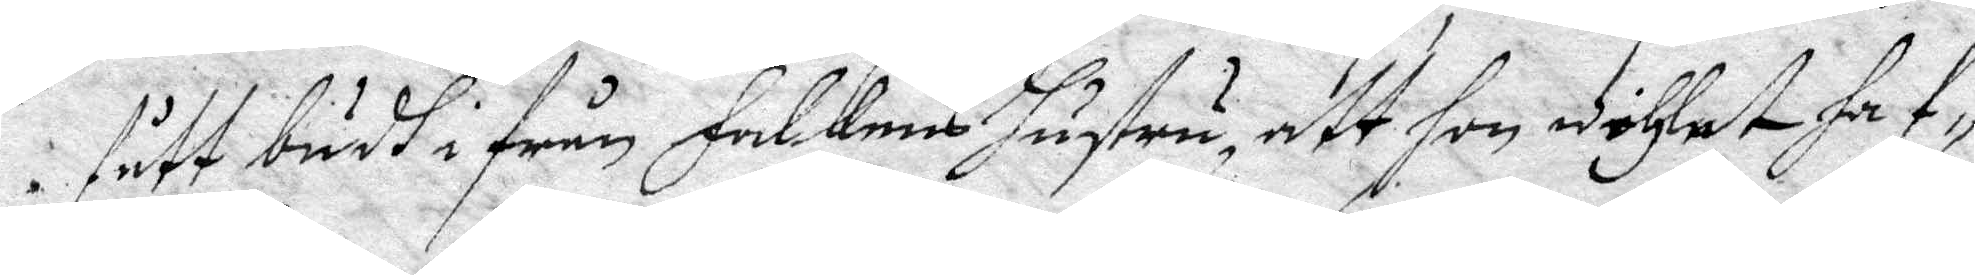fått budh i från Falckens hustru, att hon wehlat haf¬
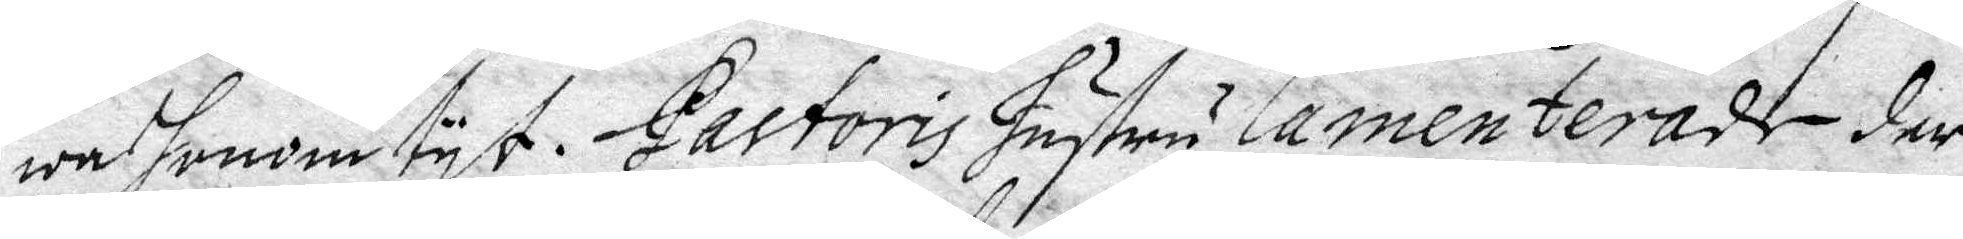wa honom tyt. Pastoris Hustru Camenterade der
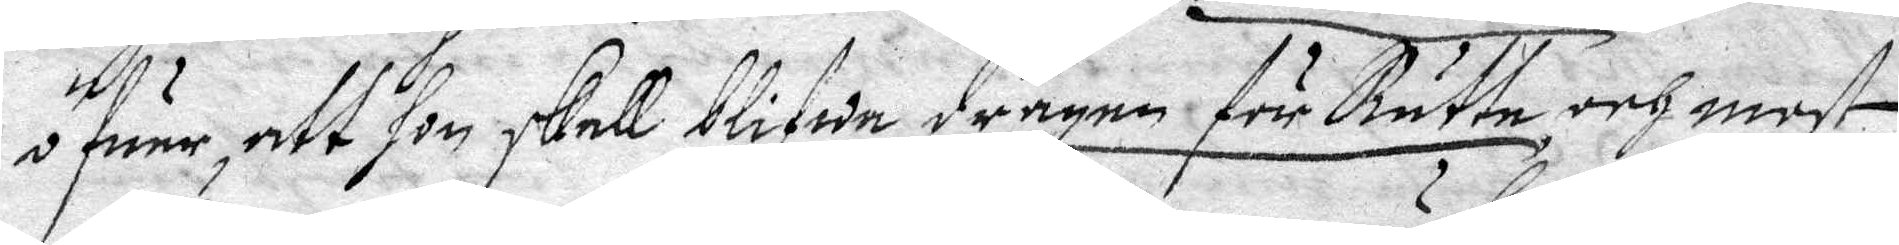öfwer att hon skall blifwa dragen för Rätte och most
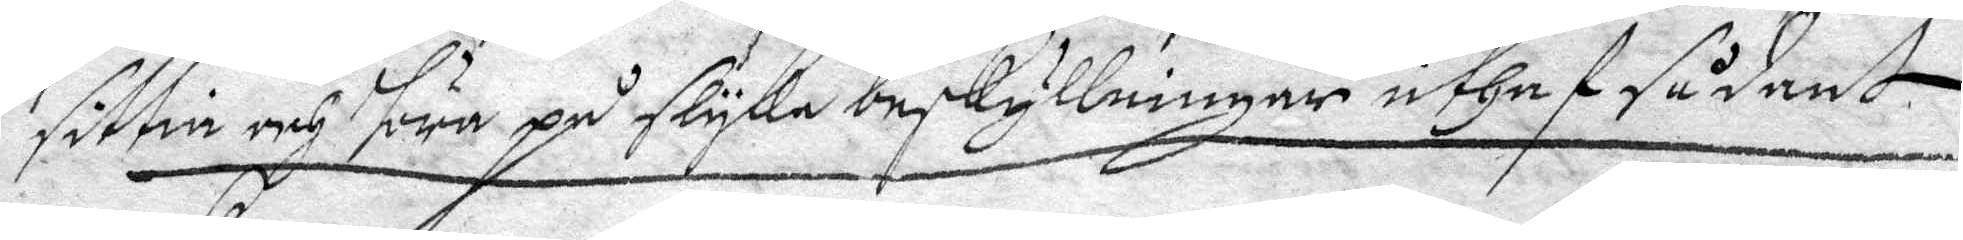sittia och höra på slyka beskyllningar uthaf sådant
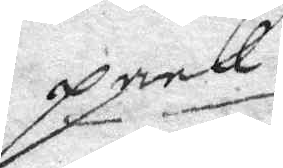pack.
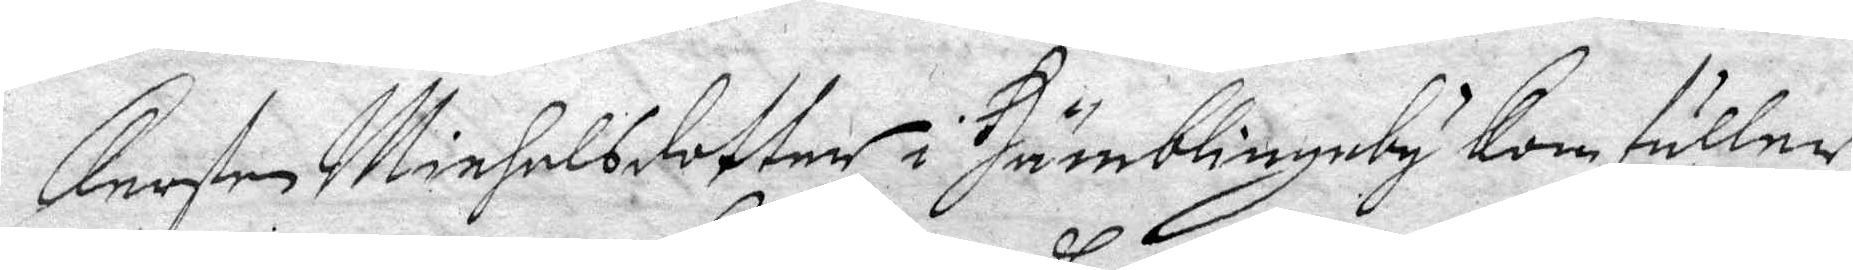Kersten Michelsdotter i Humblingeby  kom fuller
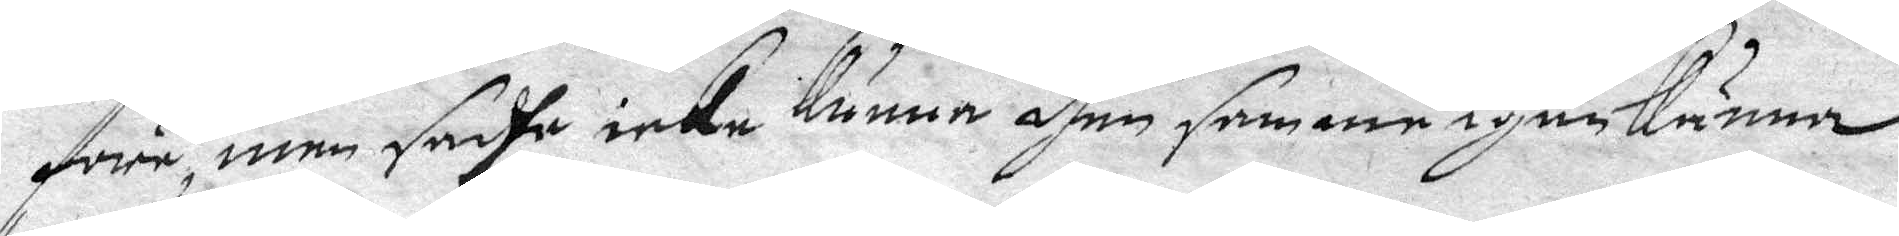före, men sadha icke kunna dhen samme igenkänna 
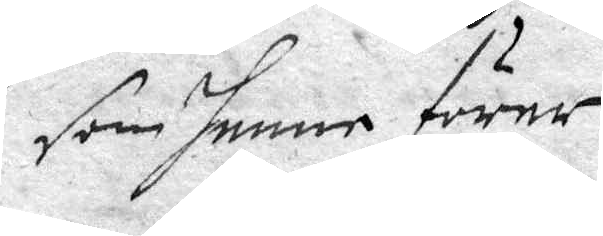som henne förer.
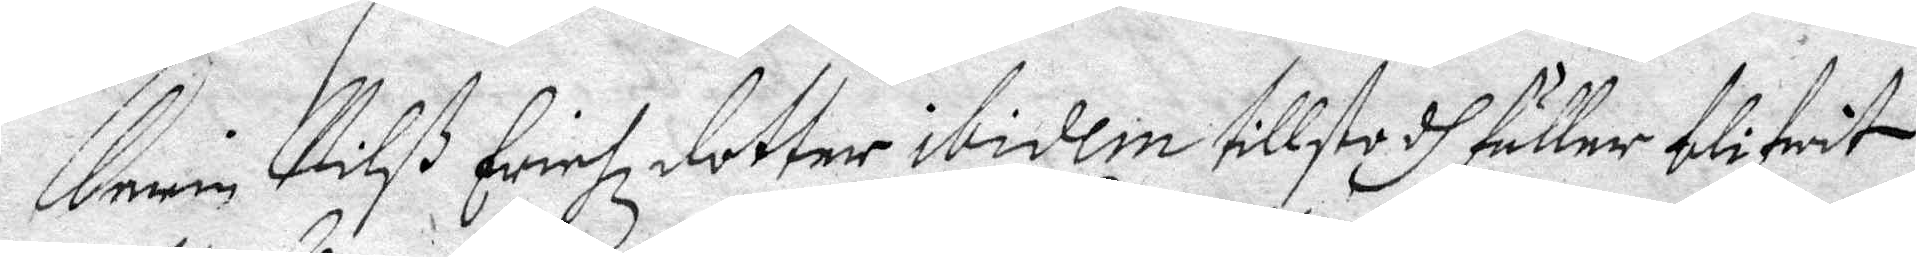Karin Nilß Erichz dotter ibidem tillstodh fuller blifwit
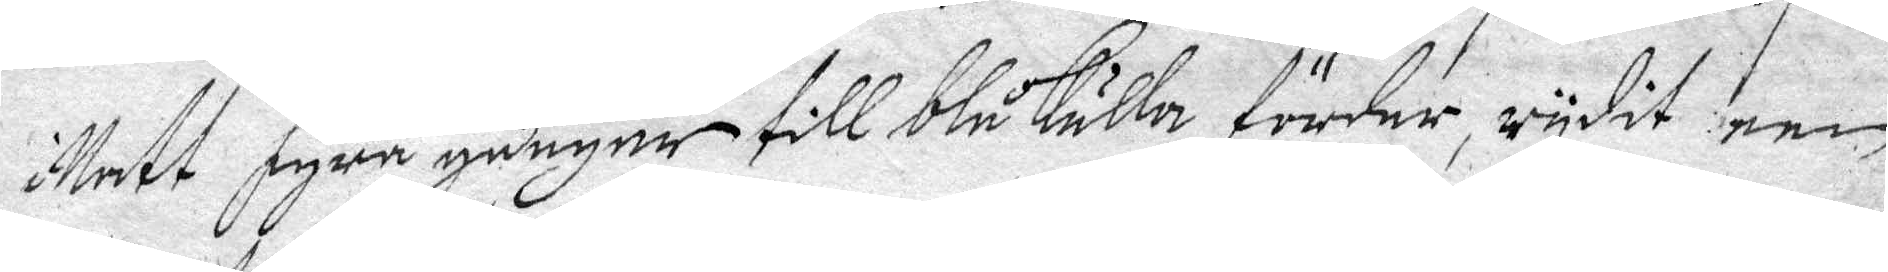i Natt fyra gånger till blåkulla förder, rydit een
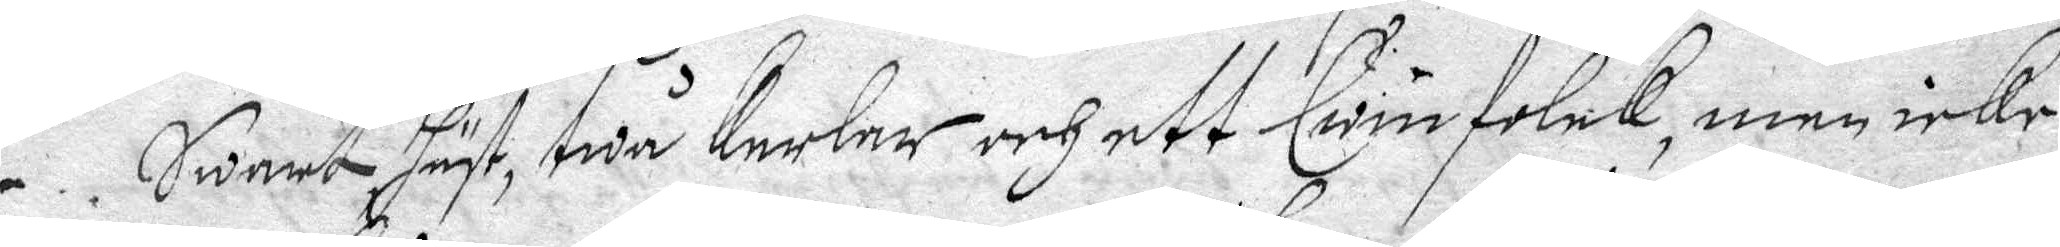Swart häst, twå kerlar och ett Qwinfolck, men icke
